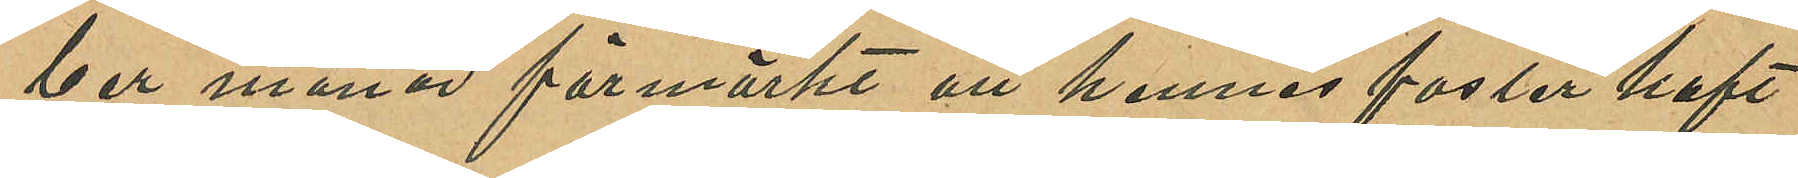ber månad förmärkt att hennes foster haft
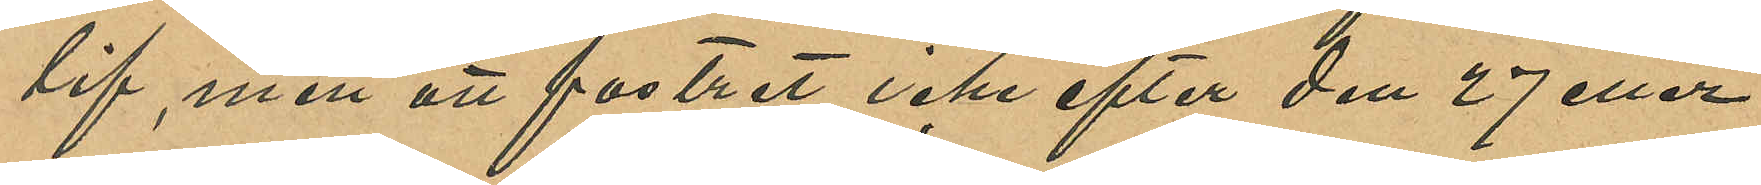lif, men att fostret icke efter den 27 eller
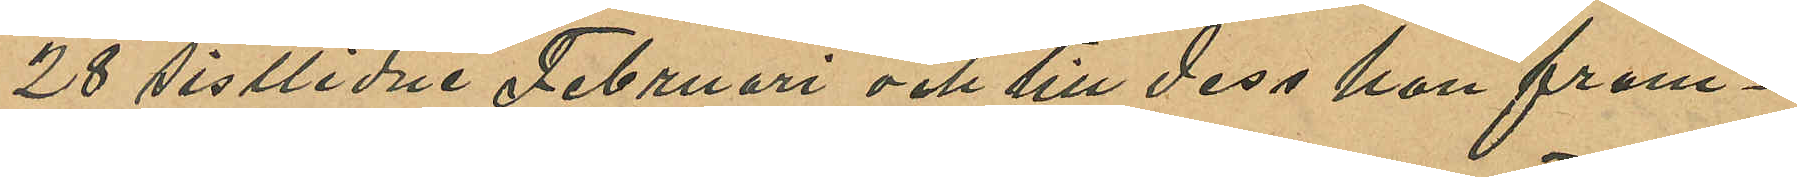28 sistlidne Februari och till dess hon fram¬
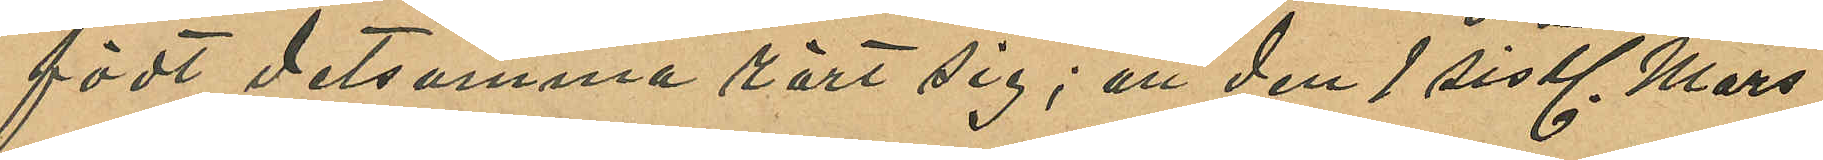födt detsamma rört sig; att den 1 sistl. Mars
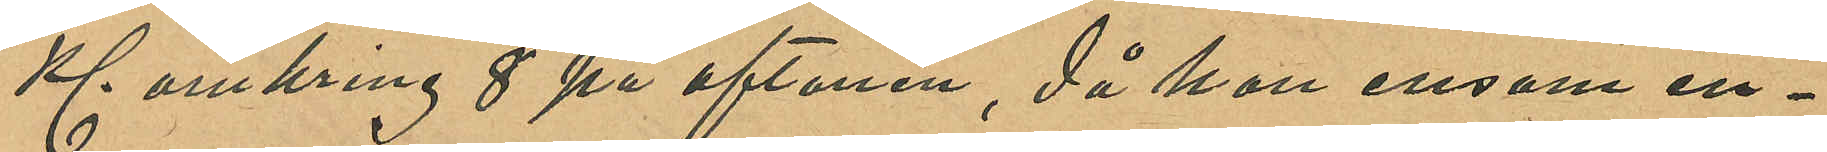Kl. omkring 8 på aftonen, då hon ensam in¬
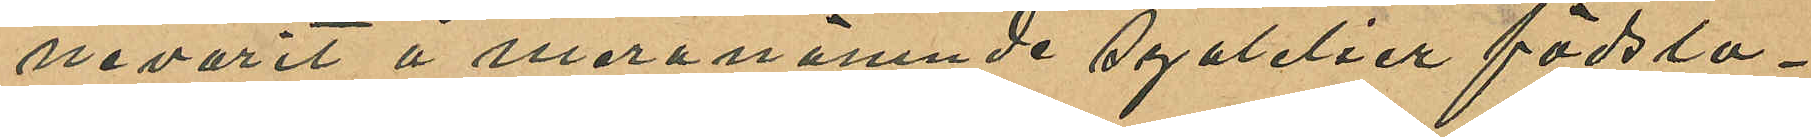nevarit å meranämnde syatelier födslo¬
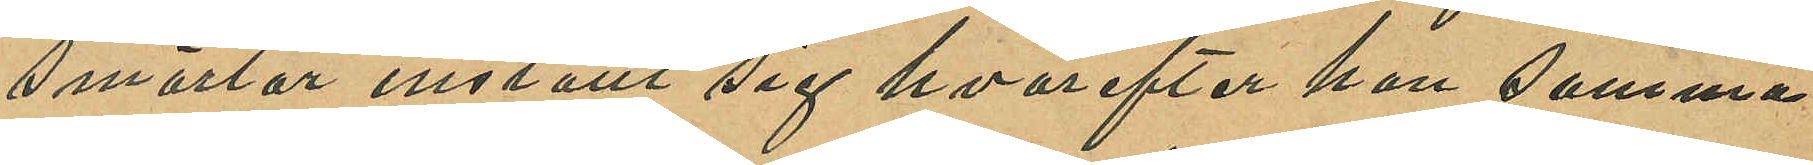smärtor inställt sig hvarefter han samma
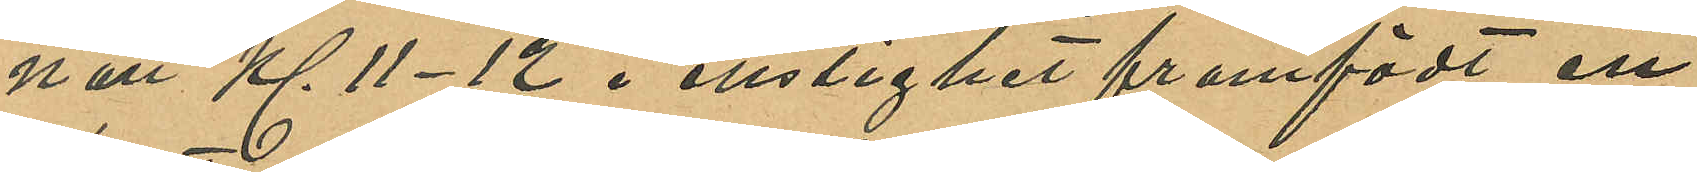natt Kl. 11-12 i enslighet framfödt ett
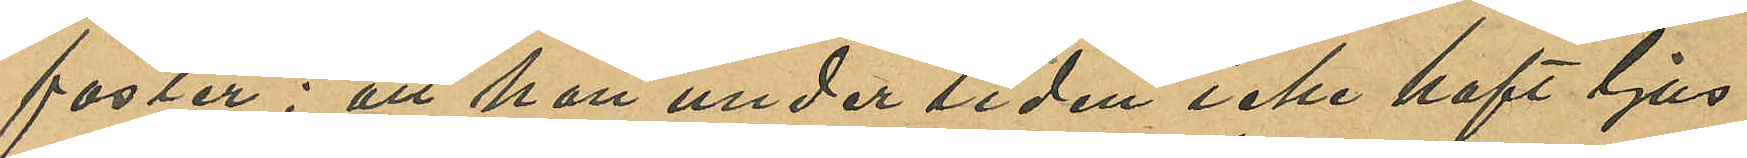foster; att hon under tiden icke haft ljus
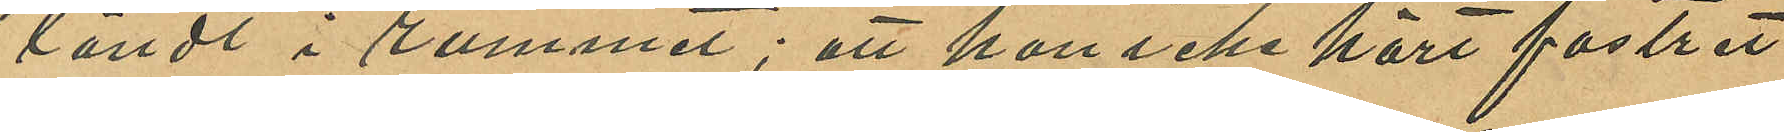tändt i rummet; att hon icke hört fostret
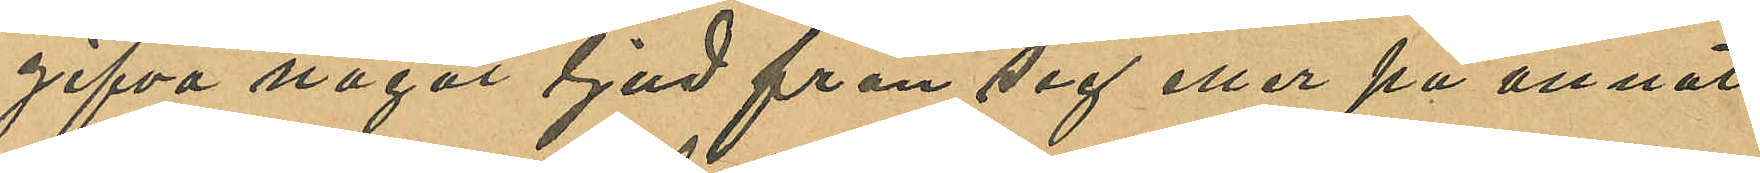gifva något ljud från sig eller på annat
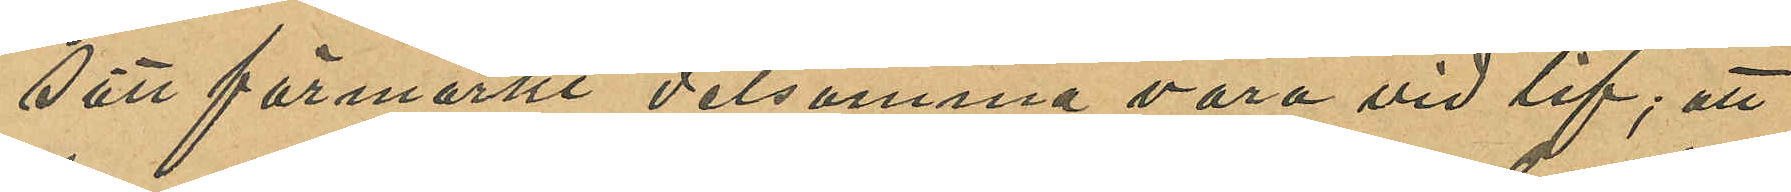sätt förmärkt detsamma vara vid lif; att
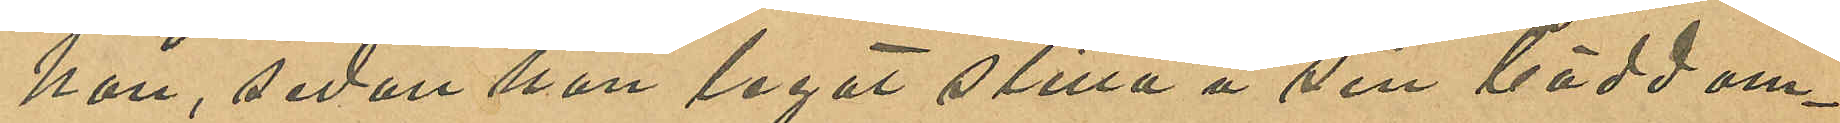hon, sedan hon legat stilla å sin bädd om¬
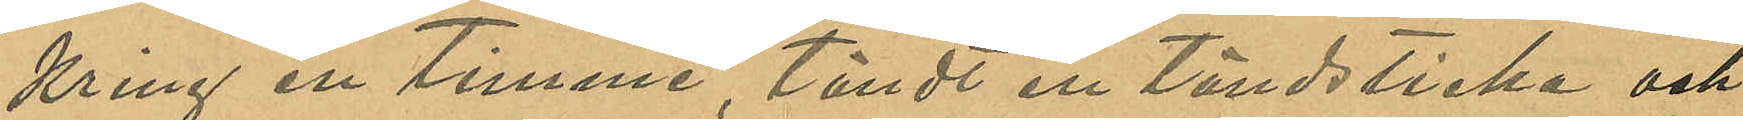kring en timme, tändt en tändslicka och
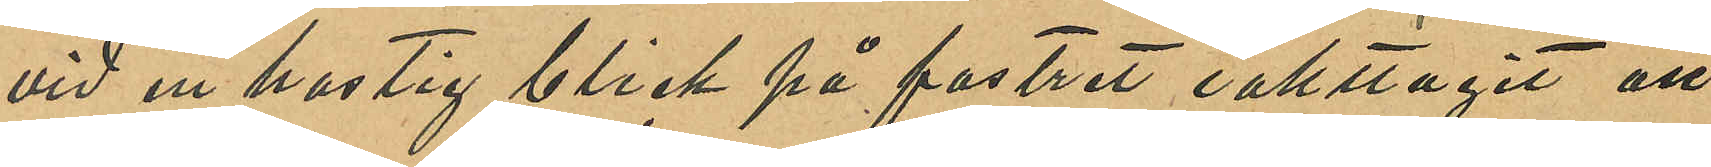vid en hastig blick på fostret iakttagit att
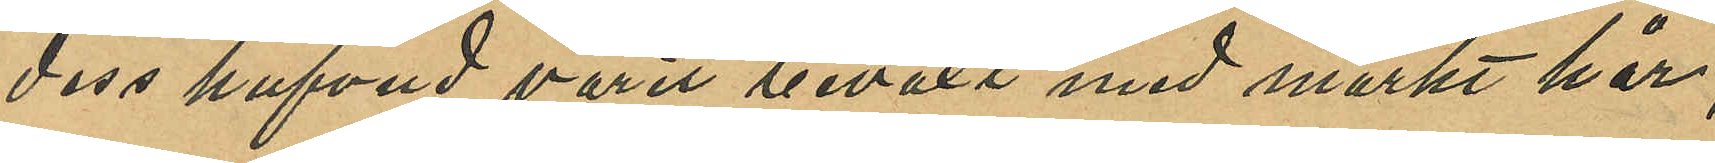dess hufvud varit beväxt med mörkt hår
